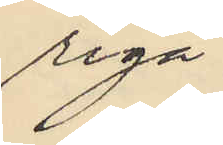riga;
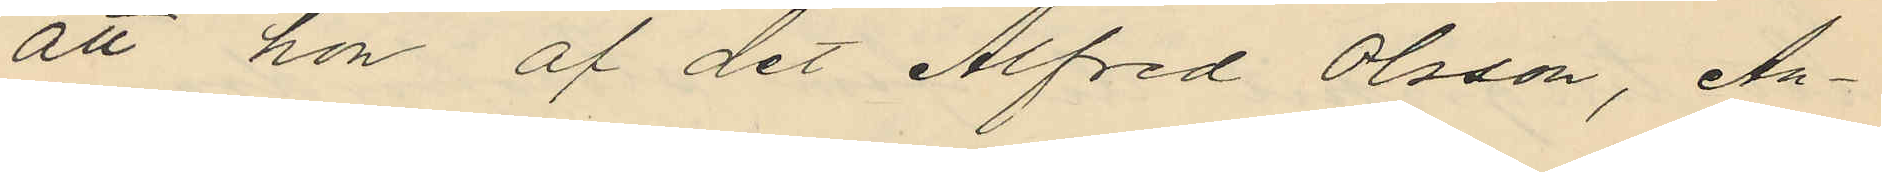att hon af det Alfred Olsson, An¬
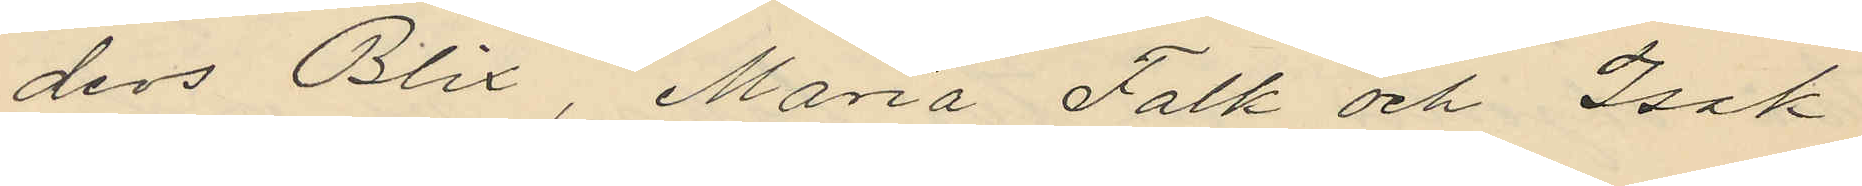ders Blix, Maria Falk och Isak
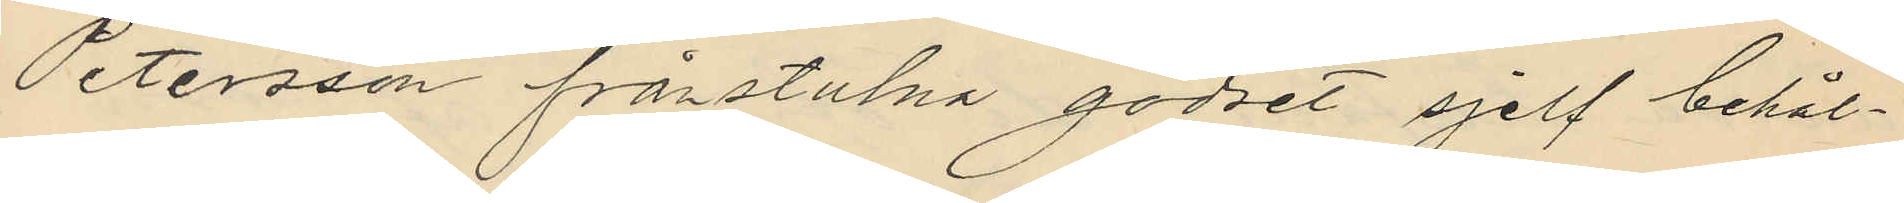Petersson frånstulna godset sjelf behål¬
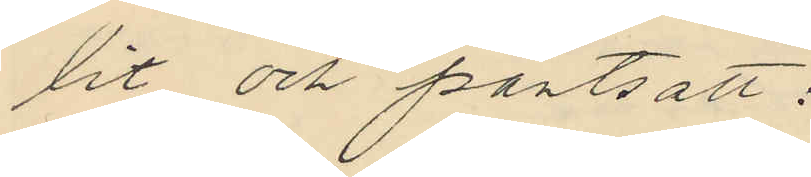lit och pantsatt:
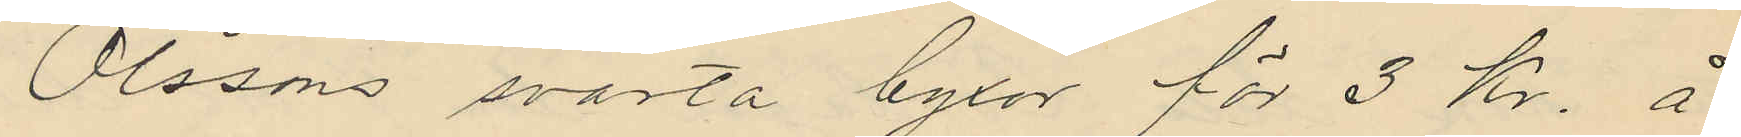Olssons svarta byxor för 3 kr. å
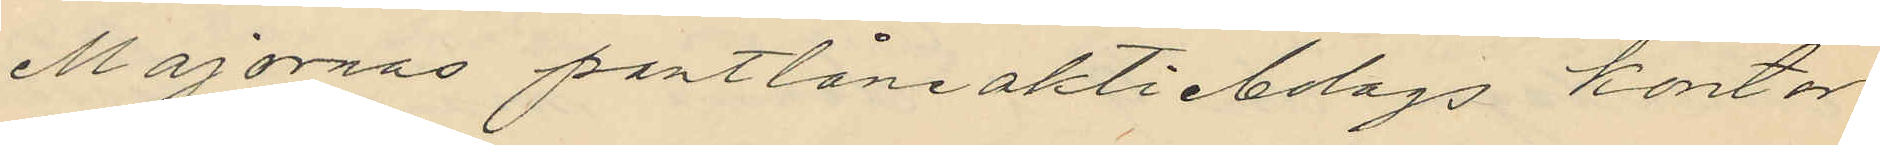Majornas pantlåneaktiebolags kontor
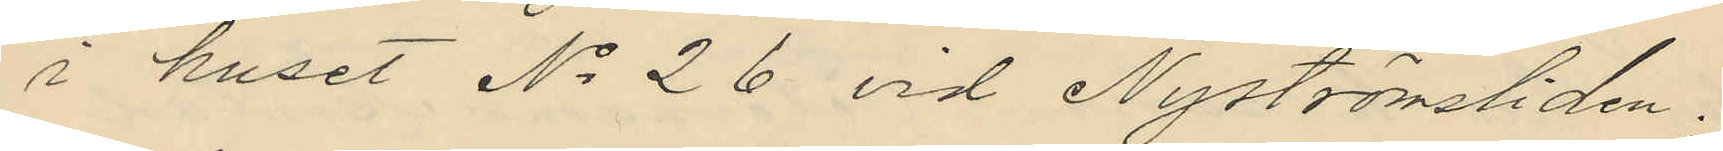i huset No 26 vid Nyströmsliden.
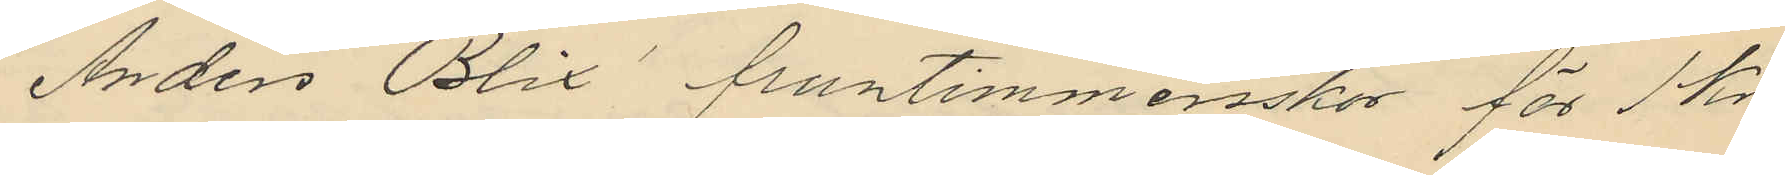Anders Blix´ fruntimmersskor för 1 kr.
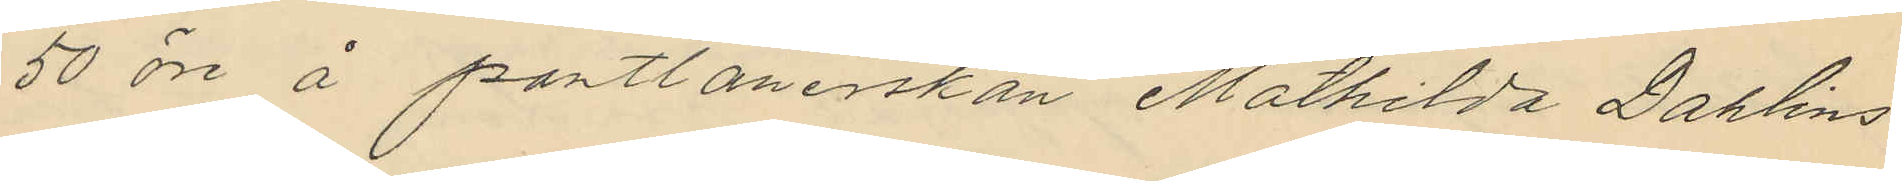50 öre å pantlånerskan Mathilda Dahlins
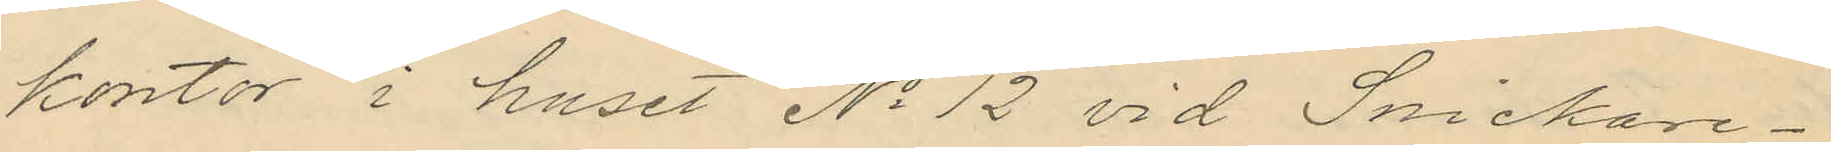kontor i huset No 12 vid Snickare¬
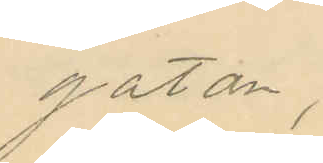gatan,
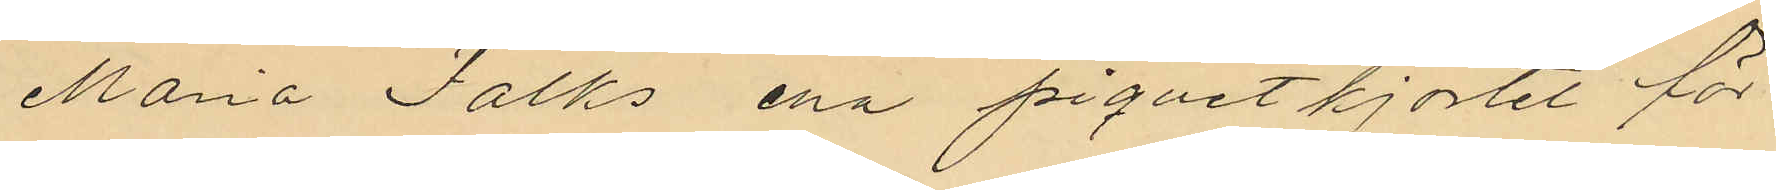Maria Falks ena piquetkjortel för
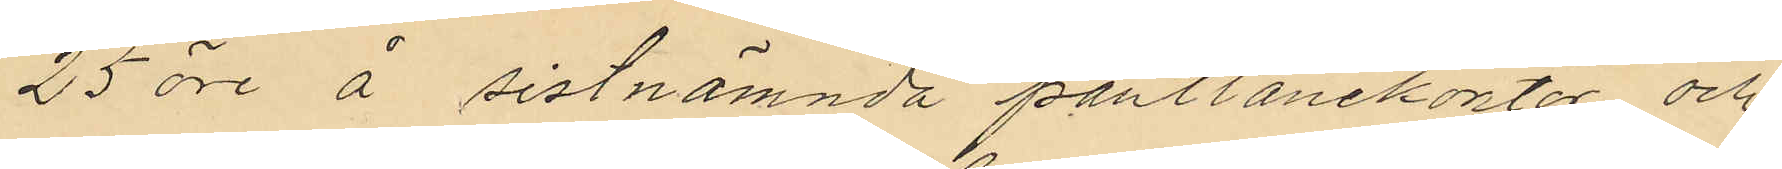25 öre å sistnämnda pantlånekontor och
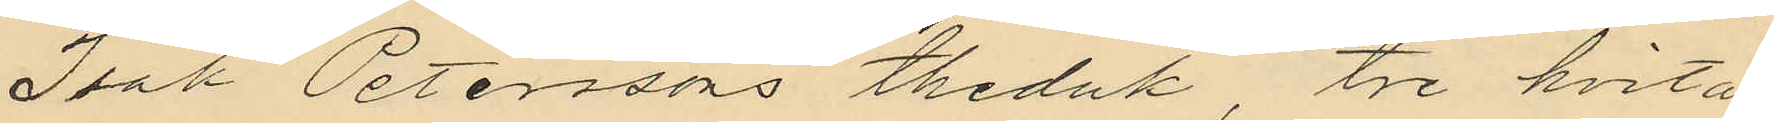Isak Peterssons theduk, tre hvita
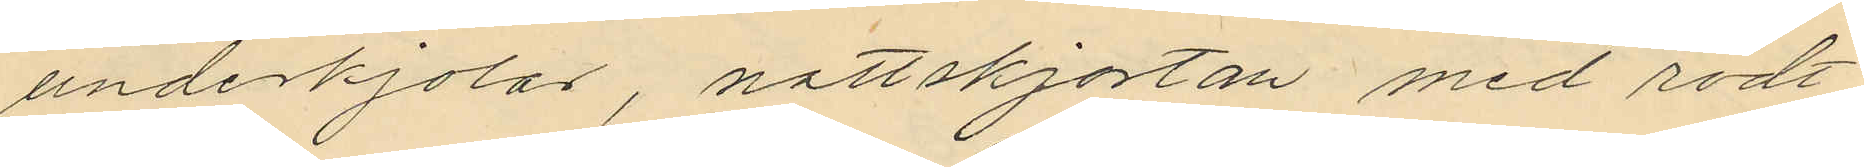underkjolar, nattskjortan med rödt
